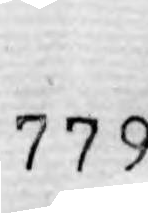779
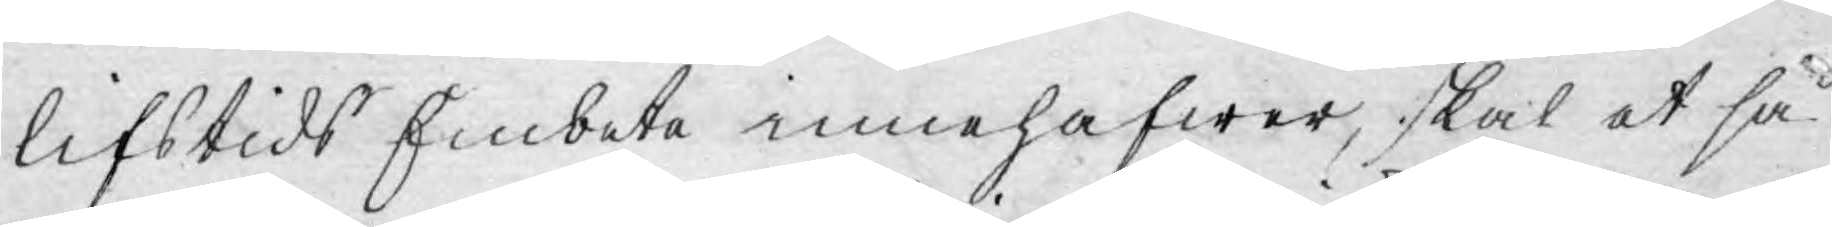lifstids Embete innehafwer, skal at så¬
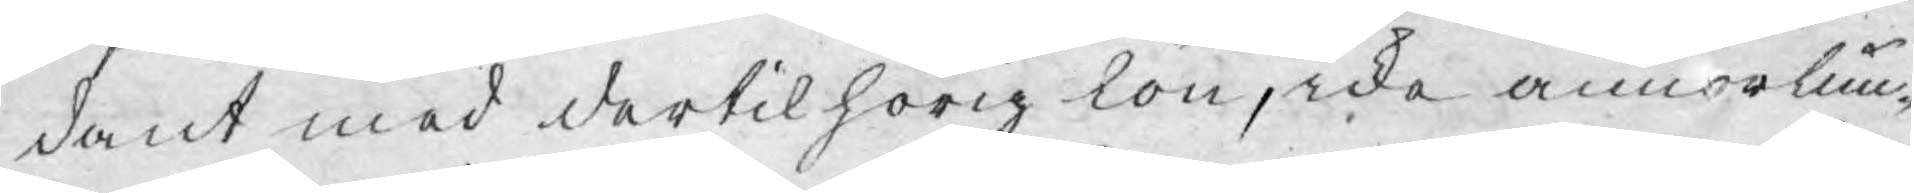dant med dertil hörig lön, icke annorlun¬
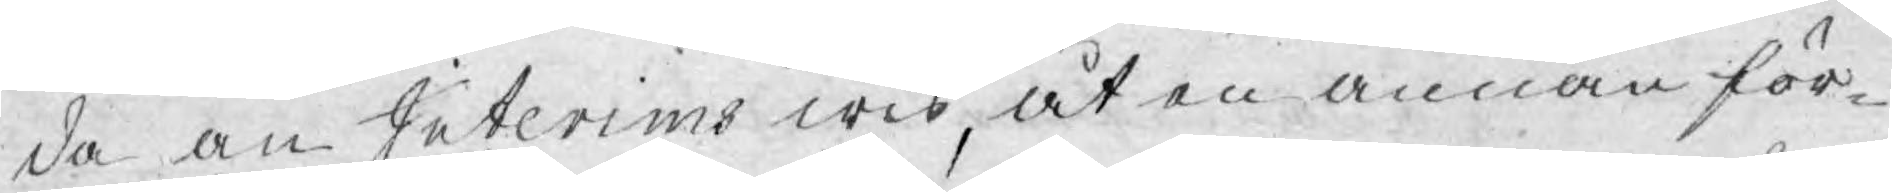da än Interims wis, at en annan för-
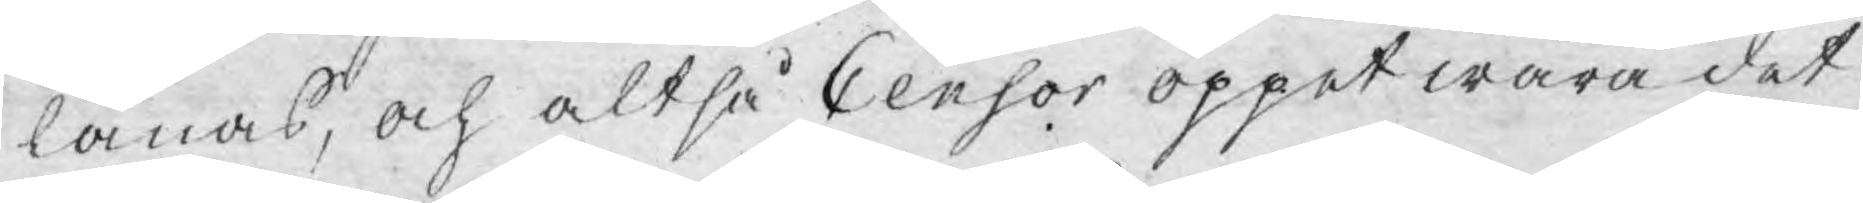länas, och altså Censor öppet wara det
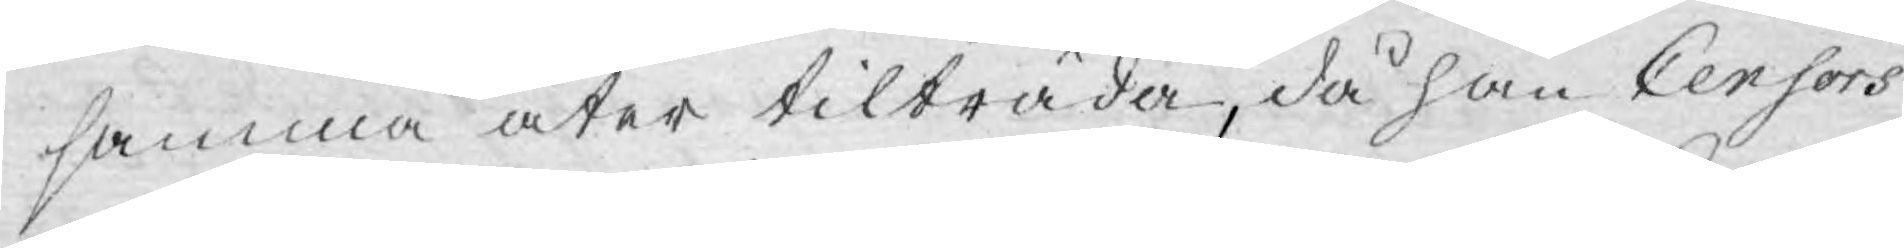samma åter tilträda, då han Censors
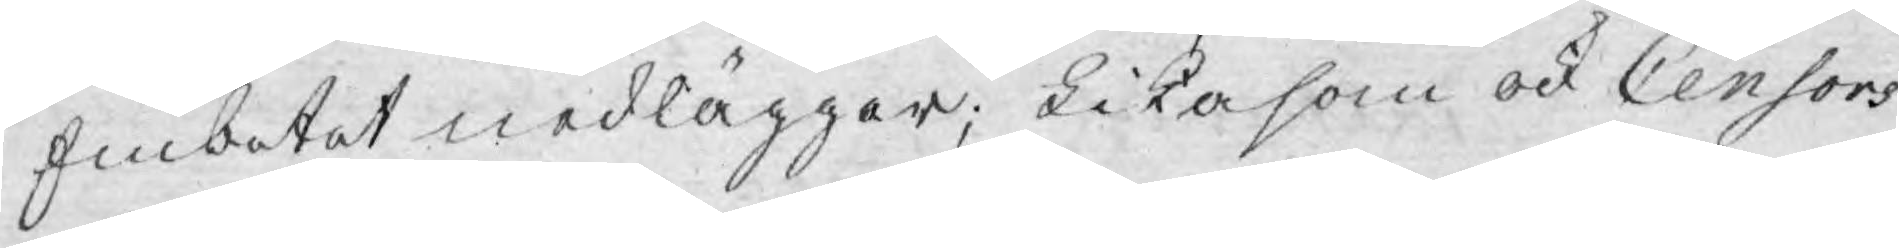Embetet nedläggar; Likasom ock Censors
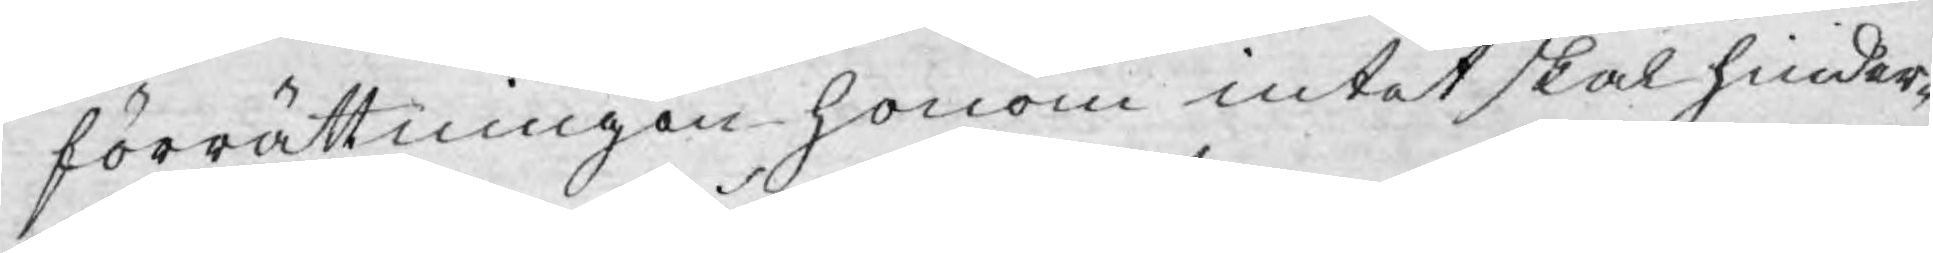förrättningen honom intet skal hinder¬
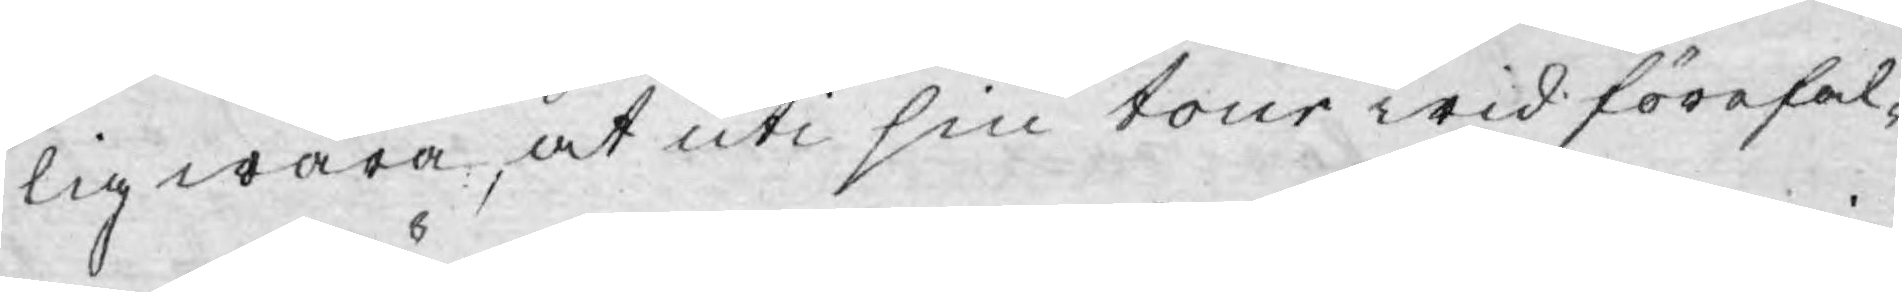lig wara, at uti sin tour wid förefal¬
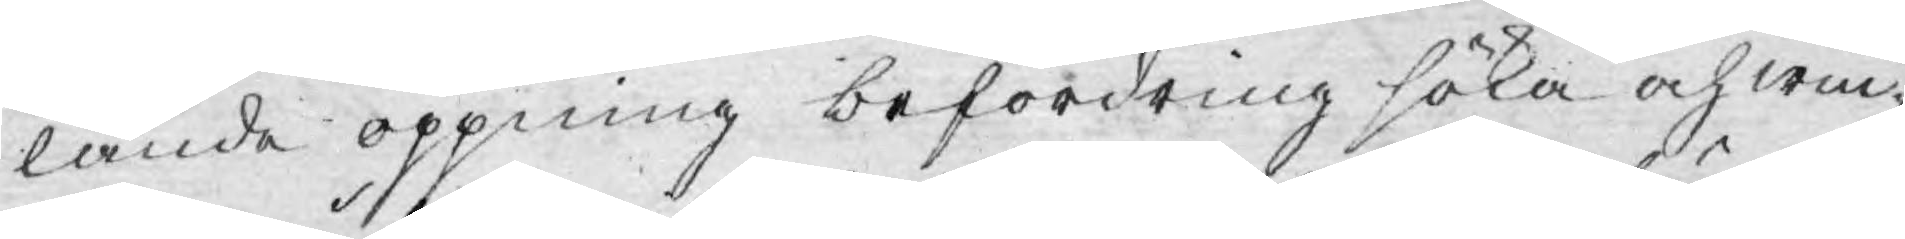lande öppning befordring söka och win¬
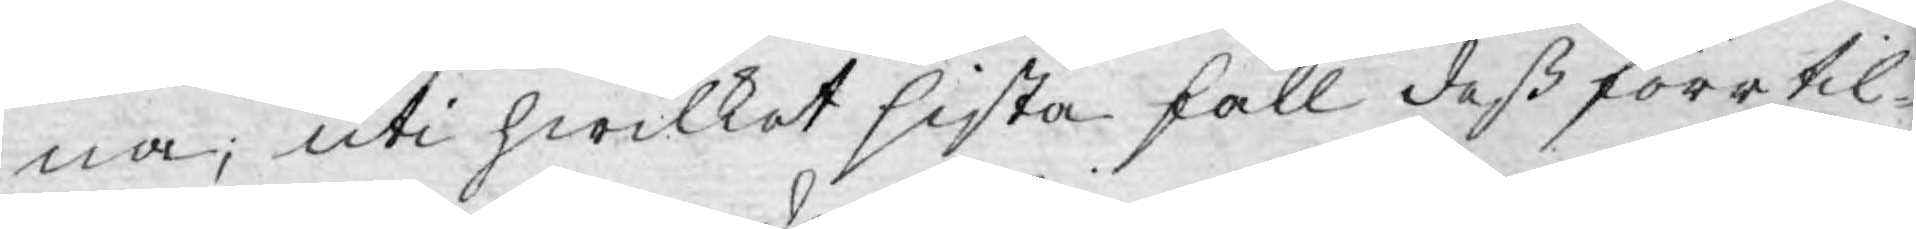na; uti hwilket sista fall deß förr til¬
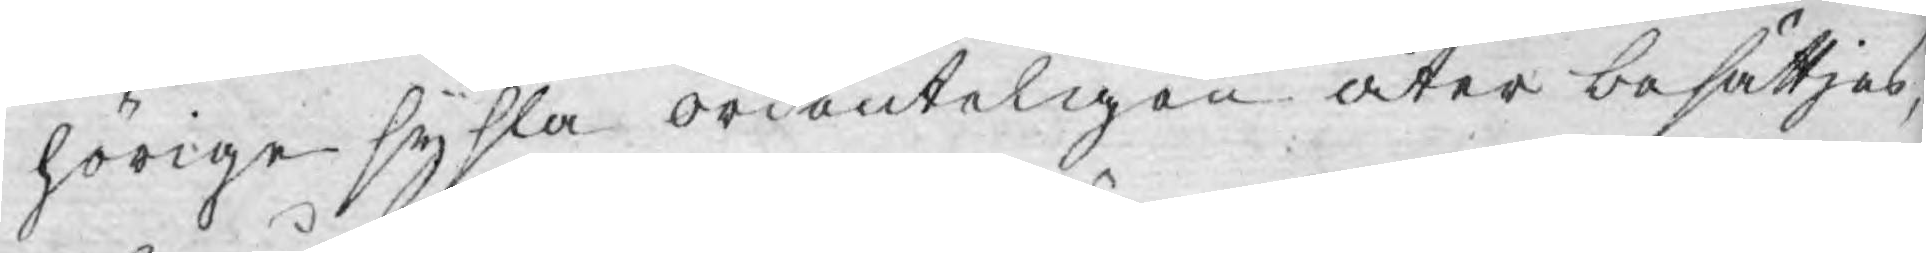hörige sysla ordenteligen åter besättjas,
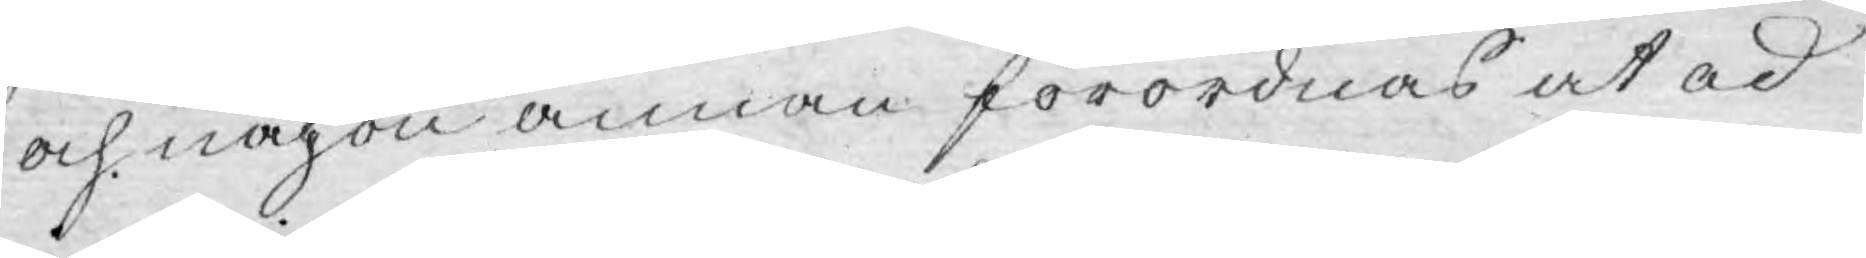och någon annan förordnas at ad
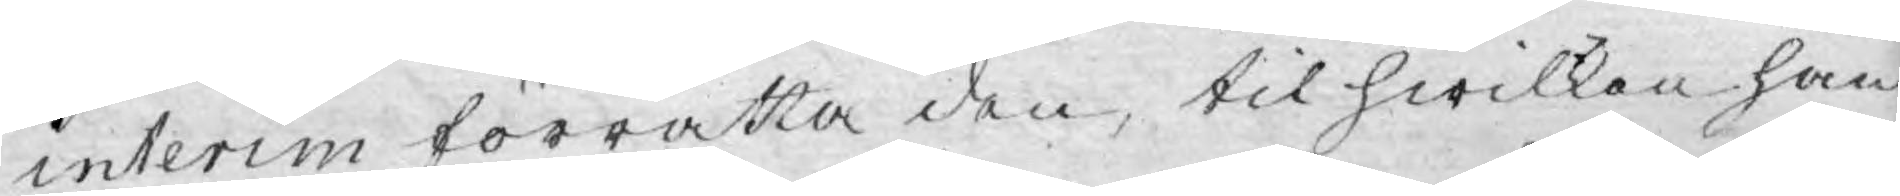interim förrätta den, til hwilken han
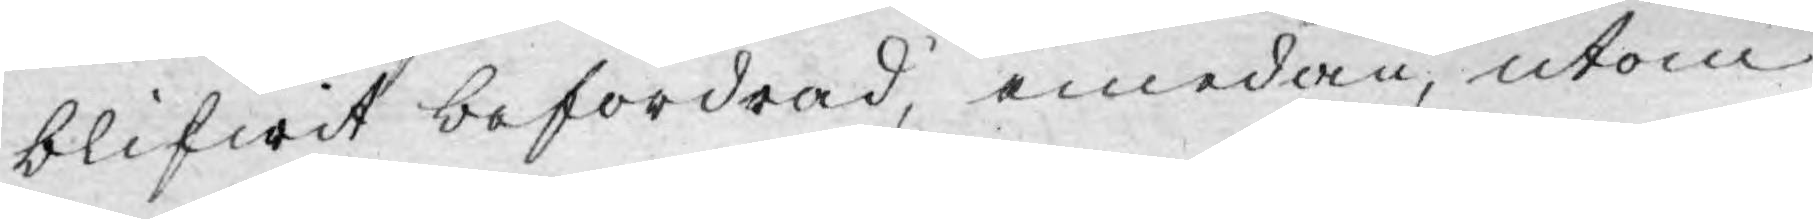blifwit befordrad, emedan, utom
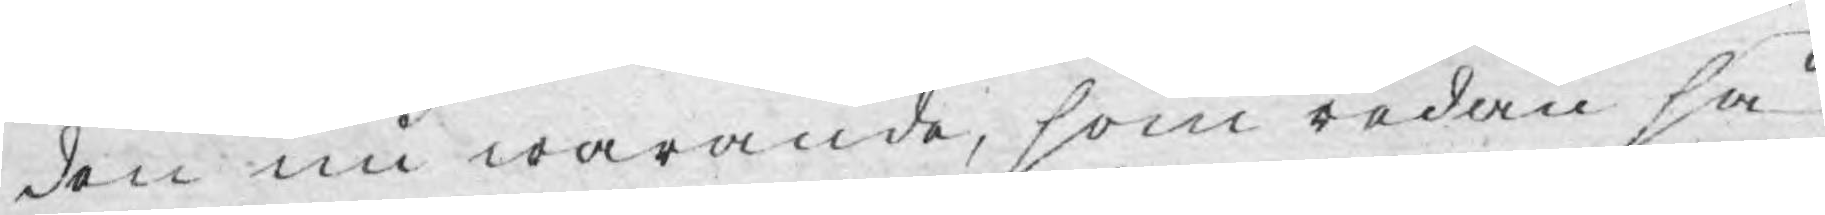den nu warande, som redan så
